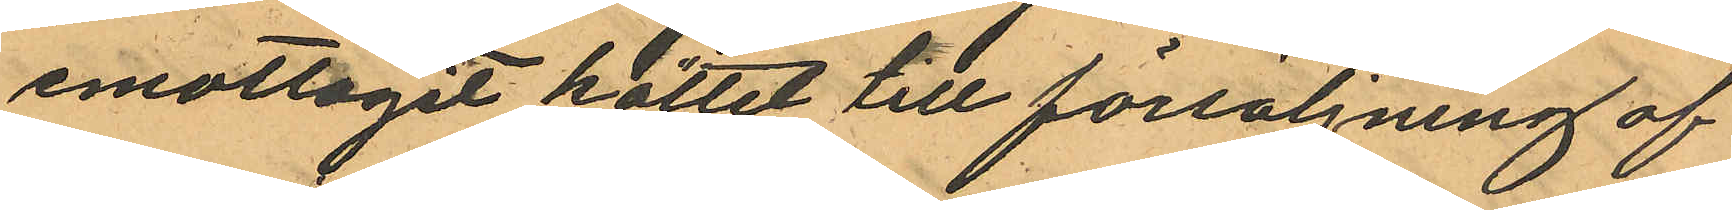emottagit köttet till försäljning af
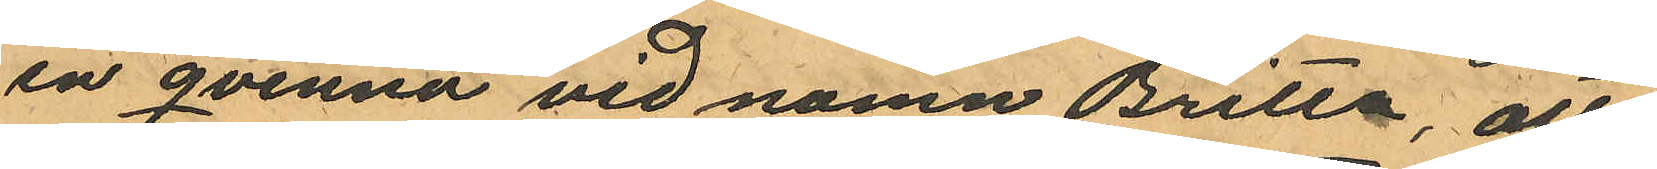en qvinna vid namn Britta, att
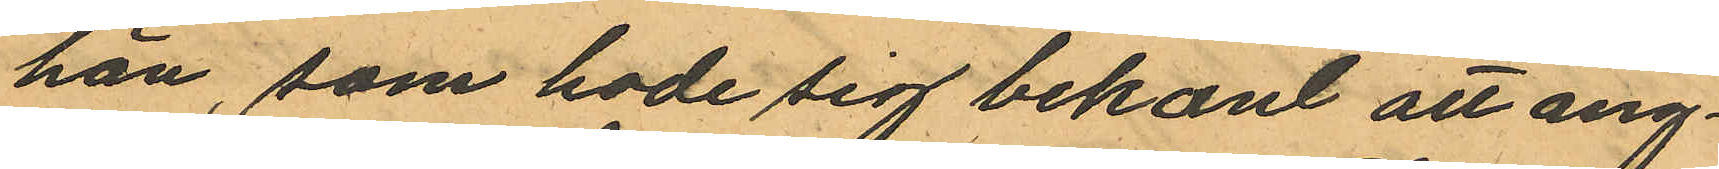han, som hade sig bekant att ång¬
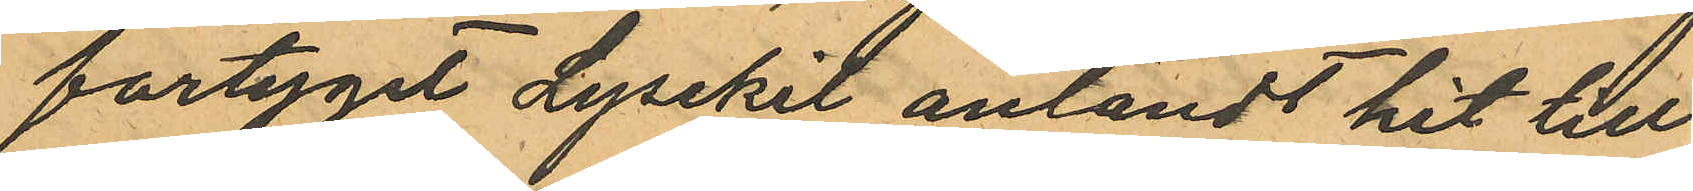fartyget Lysekil anländt hit till
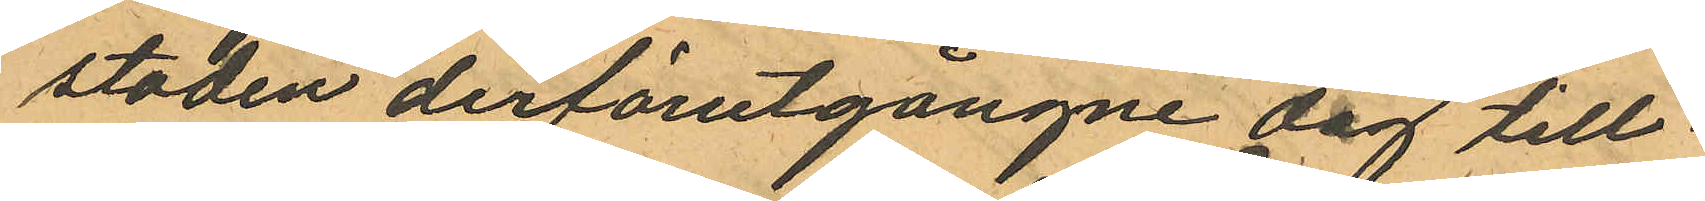staden derförutgångne dag till¬
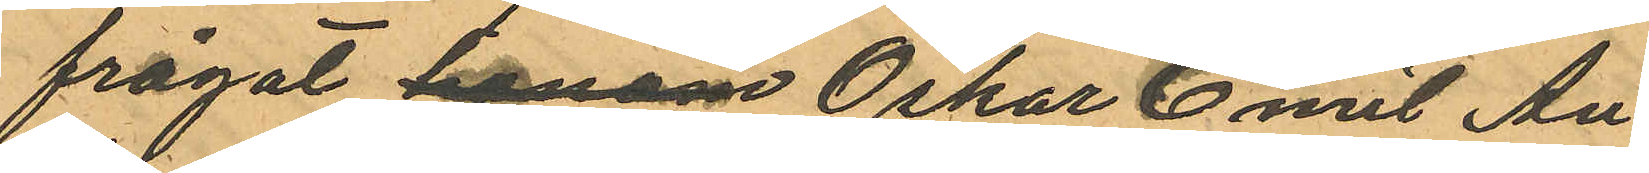frågat honom Oskar Emil An¬
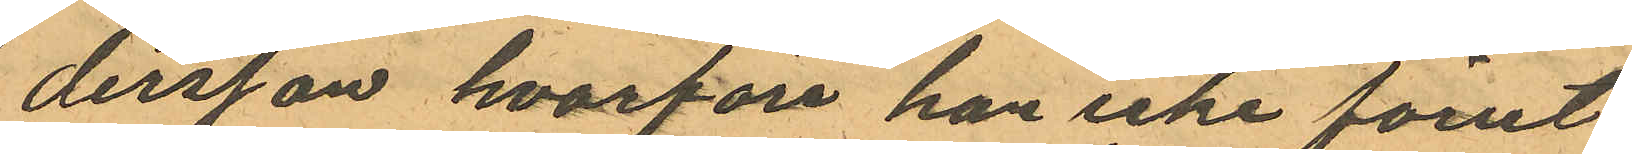dersson, hvarföre han icke förut
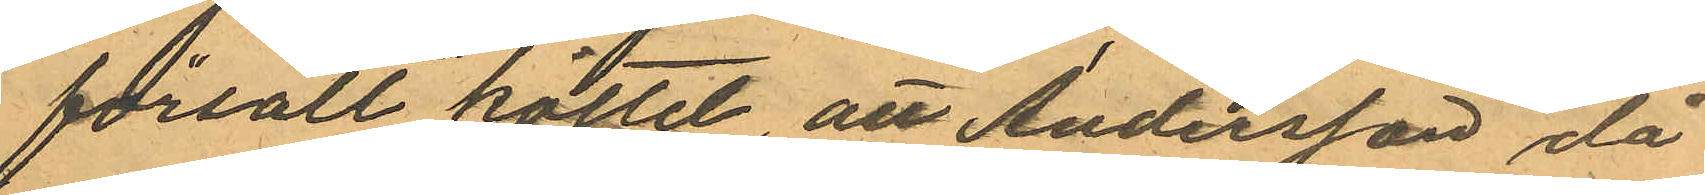försålt köttet att Andersson, då
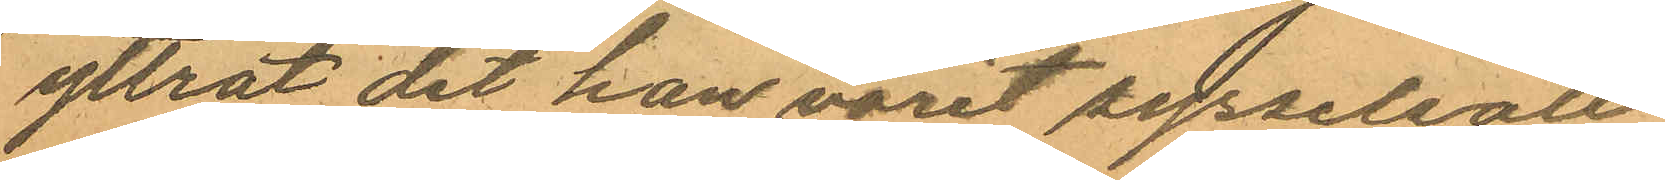yttrat det han varit sysselsatt
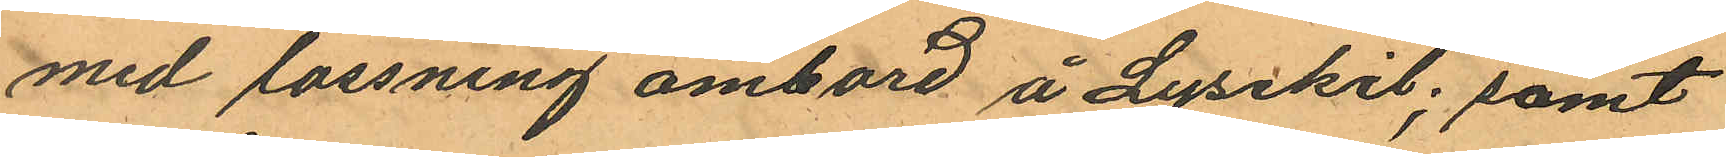med lassning ombord å Lysekil; samt
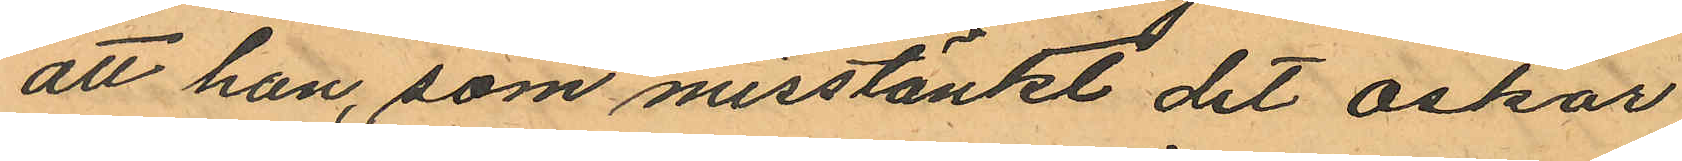att han, som misstänkt det Oskar
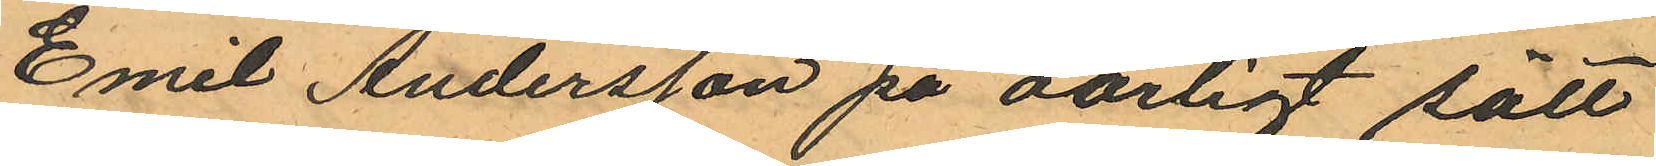Emil Andersson på oärligt sätt
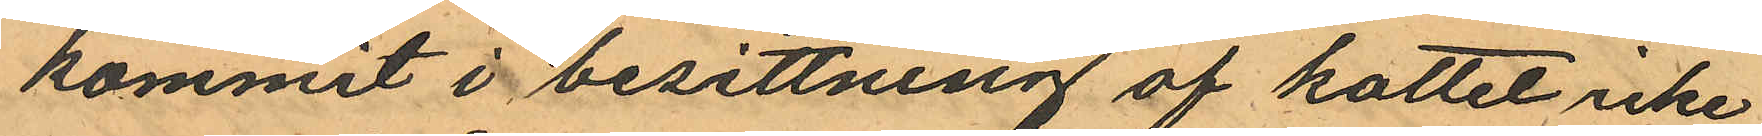kommit i besittning af kottet icke
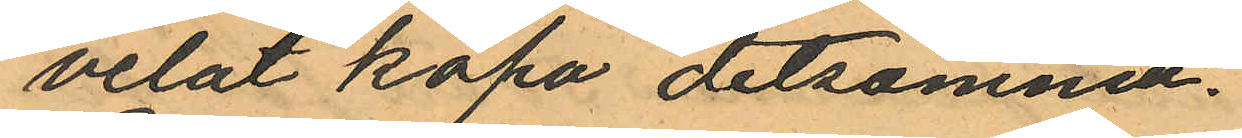velat köpa detsamma.
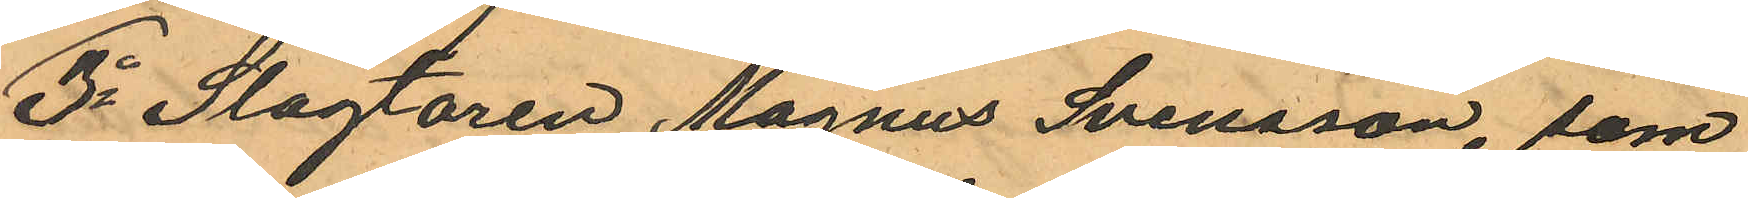3o Slagtaren Magnus Svensson, som
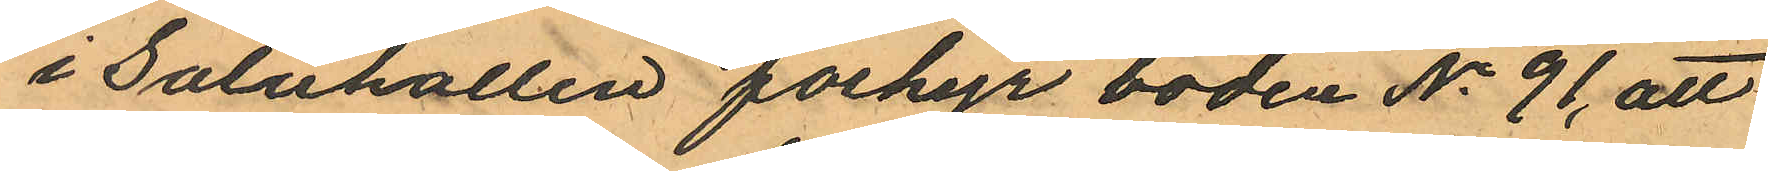i Saluhallen forhyr boden No 91, att
